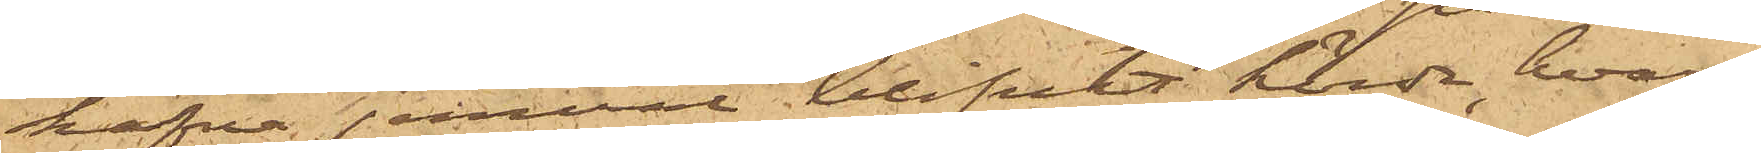hafva jemväl blifvit hörda, hvar¬
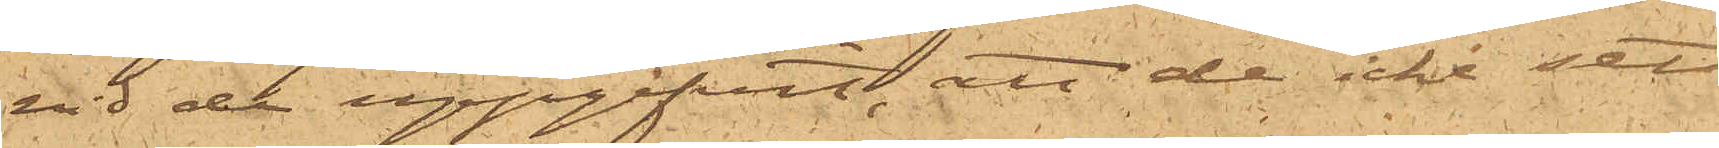vid de uppgifvit, att de icke sett
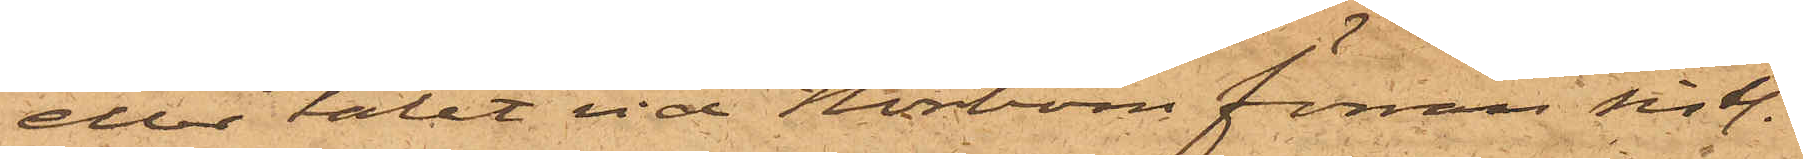eller talat vid Norbom förrän sist.
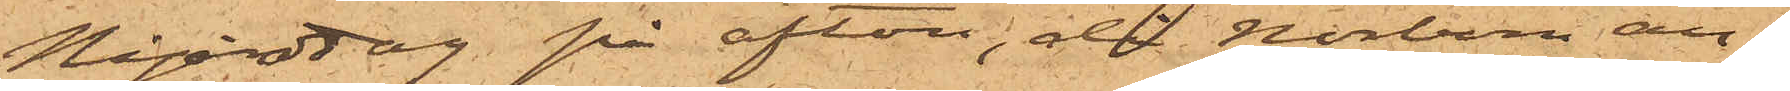Nyårsdag på afton, då Norbom an¬
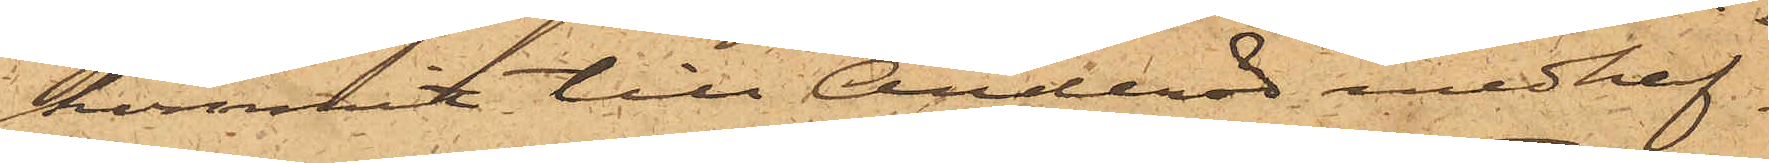kommit till Andröd medhaf¬
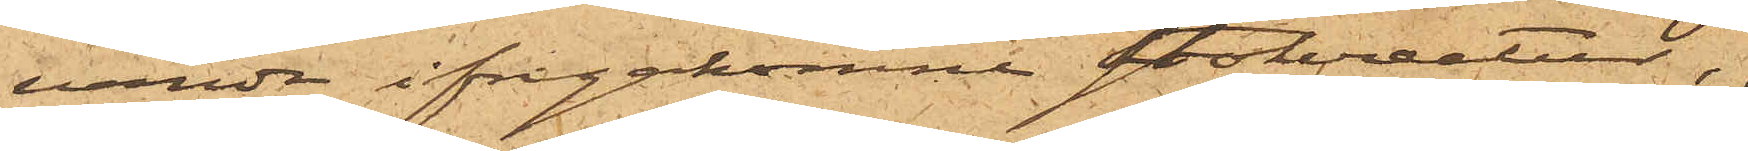vande ifrågakomne stokreatur,
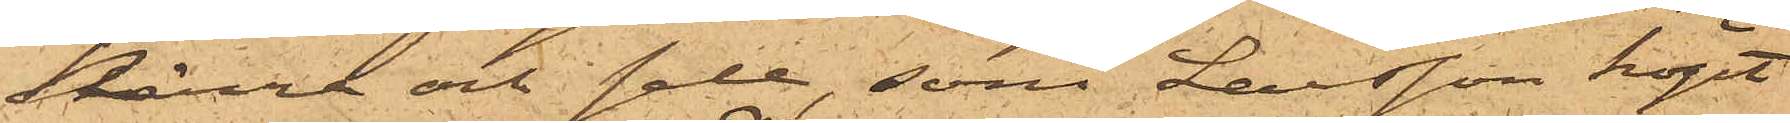kärra och sele, som Larsson köpt
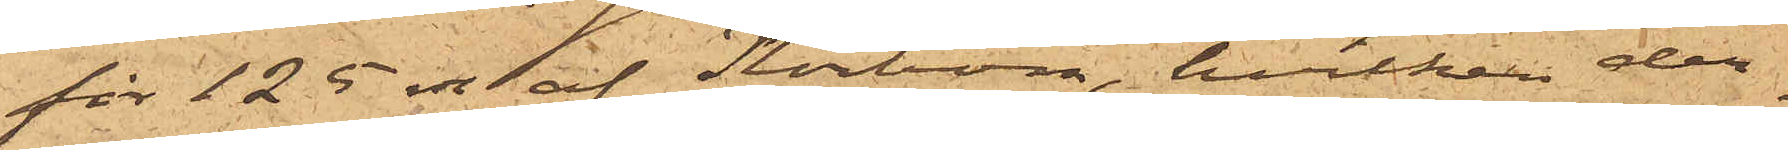för 125 rdr af Norbom, hvilken der¬
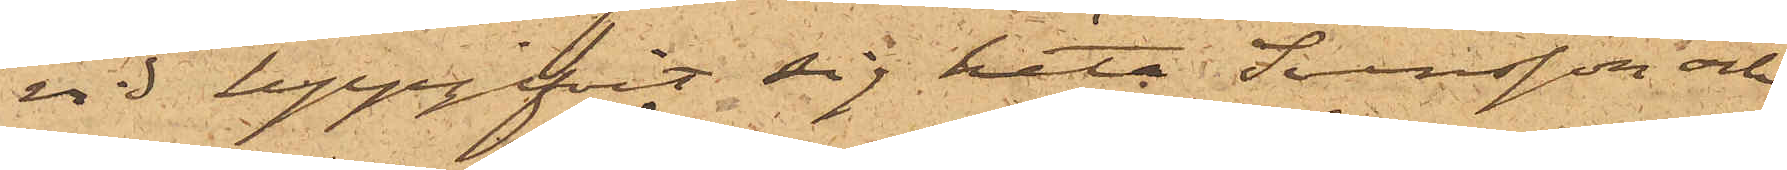vid uppgifvit sig heta Svensson och
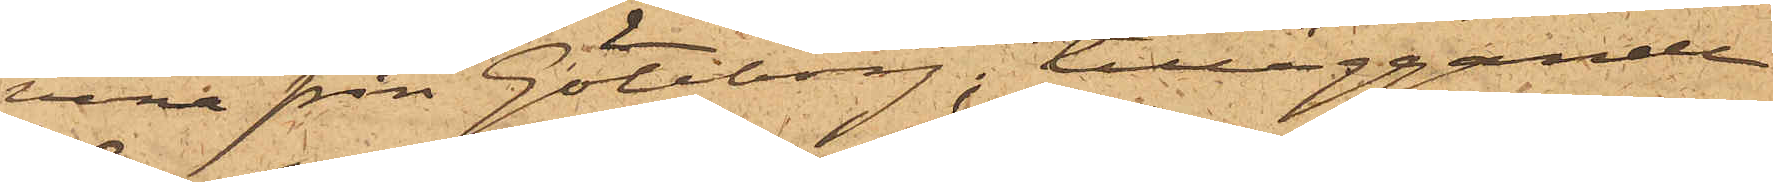vara från Göteborg; tilläggande
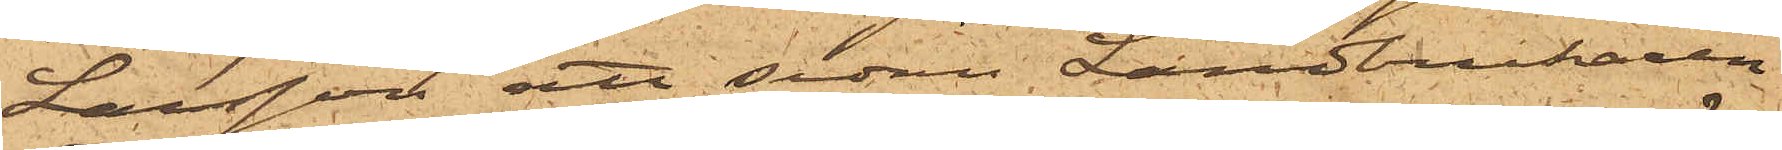Larsson att sedan Landtbrukaren
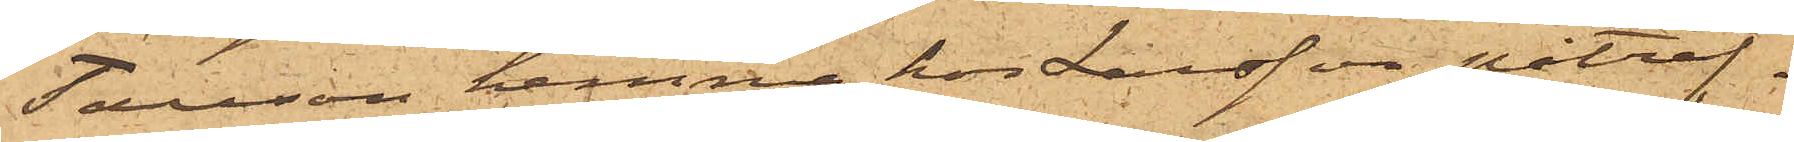Tauson hemma hos Larsson påträf¬
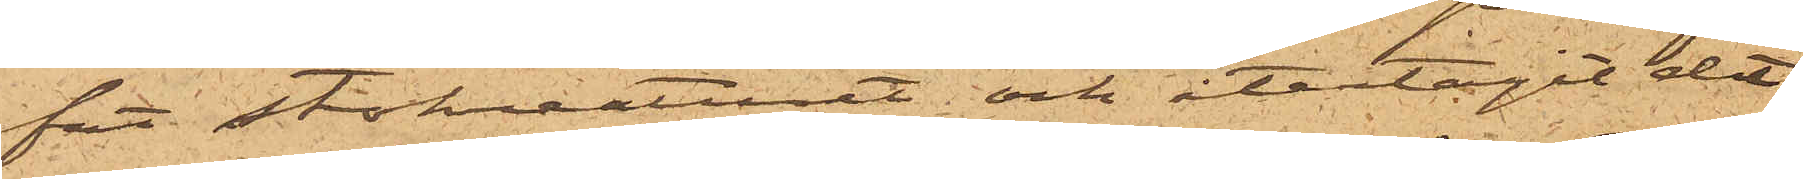fat stokreaturet och återtagit det¬
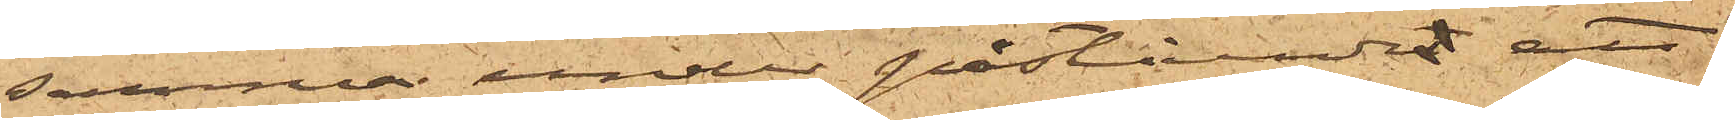samma under påståendet att
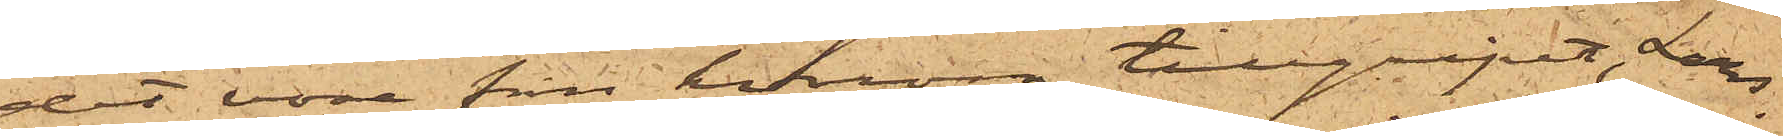det vore från honom tillgripet, Lars¬
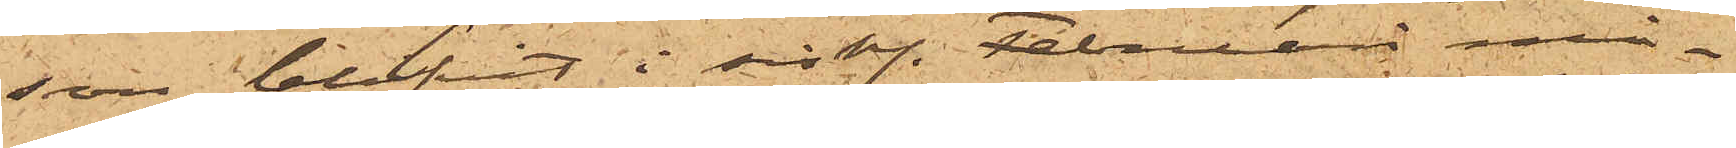son blifvit i sist. februari må¬
